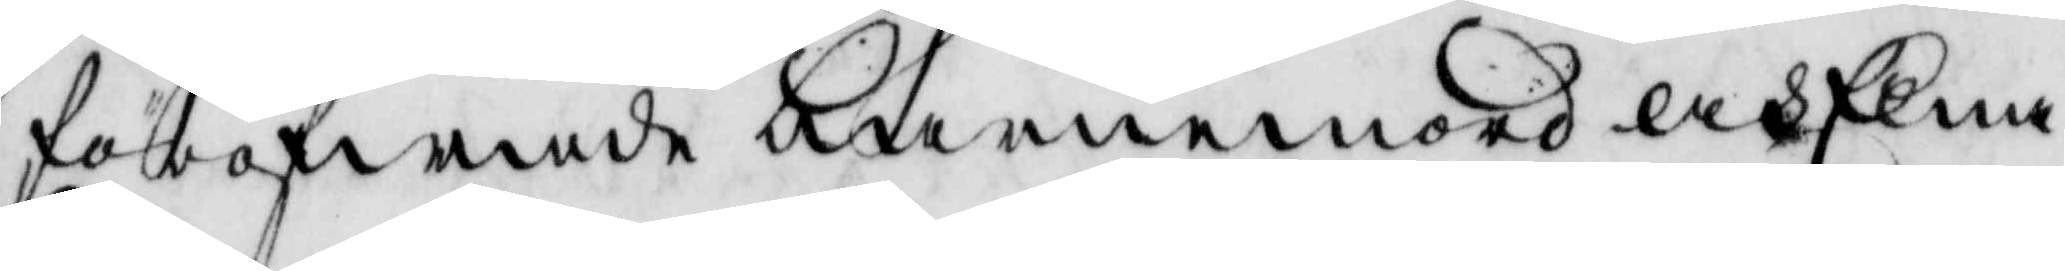föröfwade barnamord och Elna
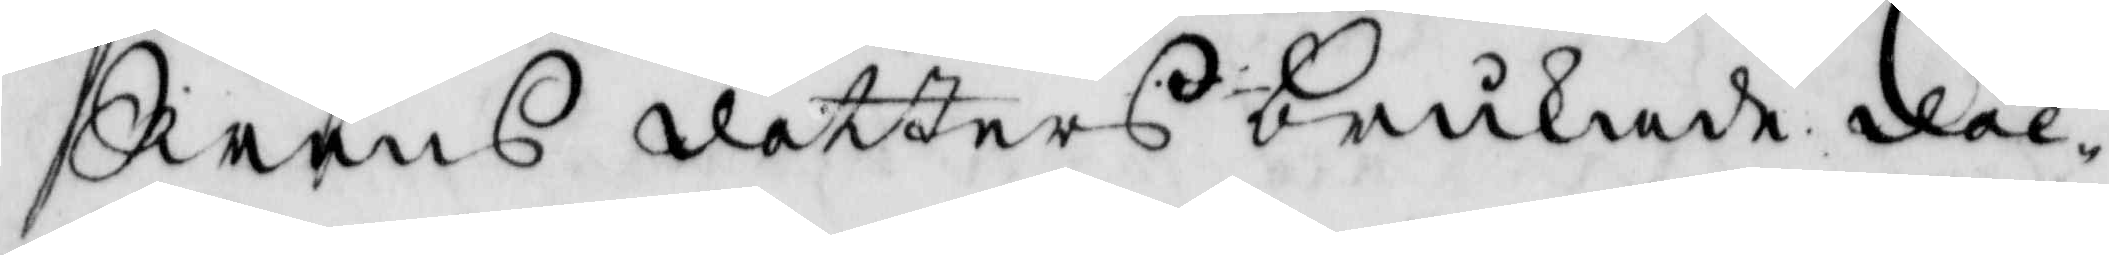Swens dotters brukade döl¬
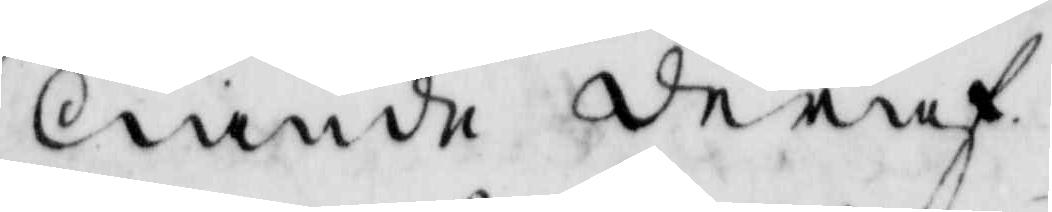liande deraf.
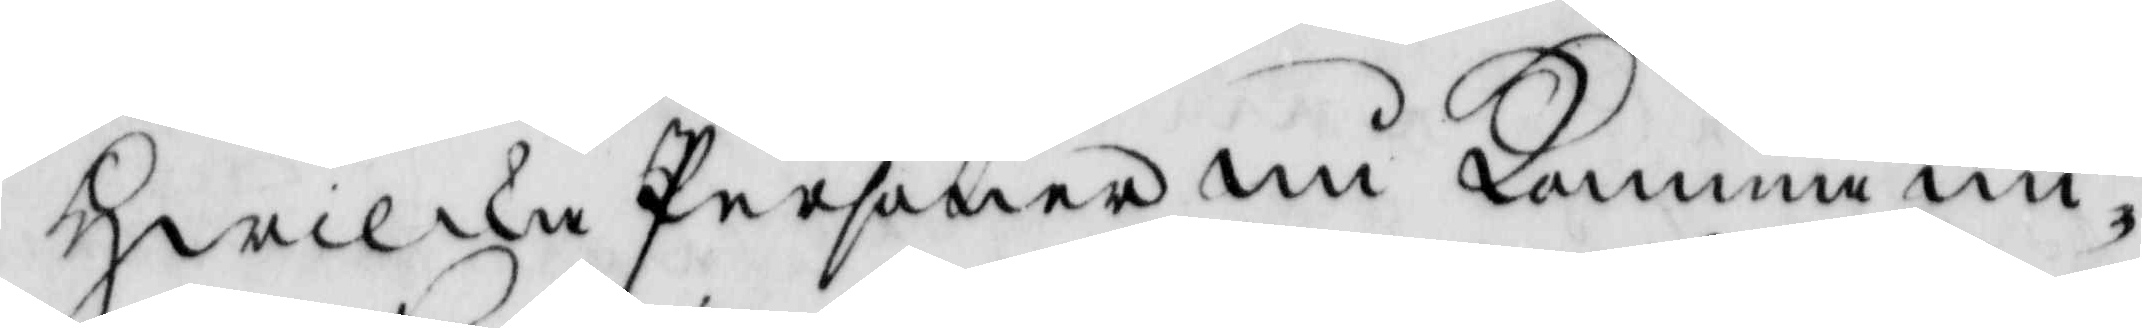Hwilkea Personer nu Komma un¬
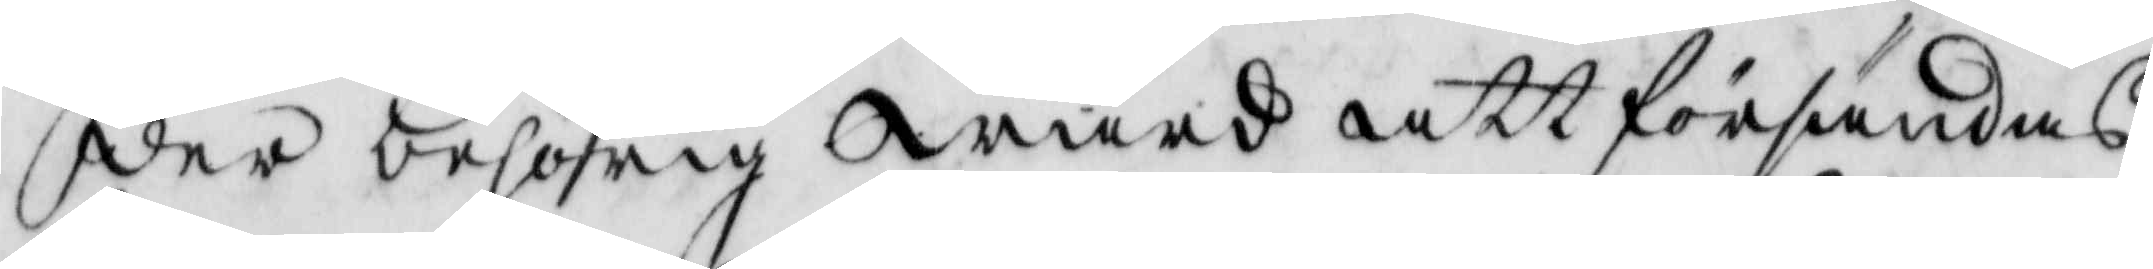der behörig wård att försändas
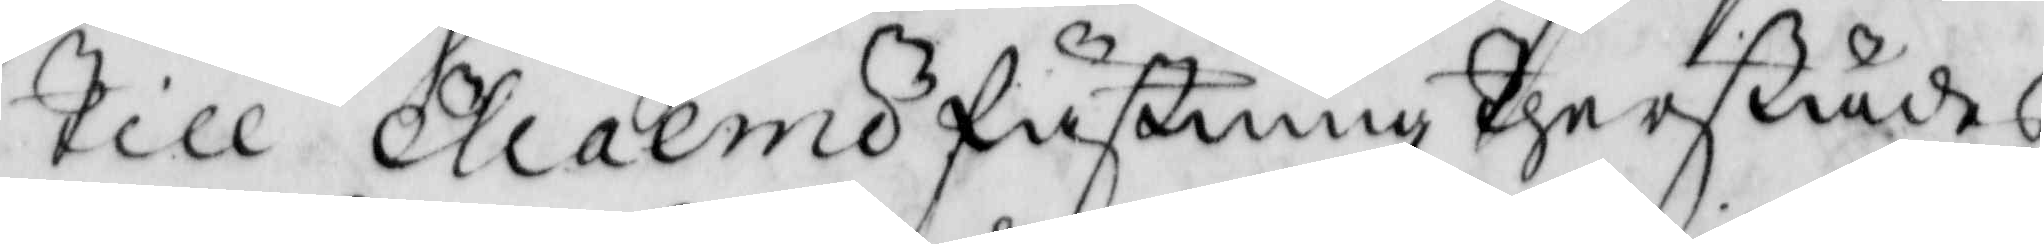Till Malmö fästning therstädes
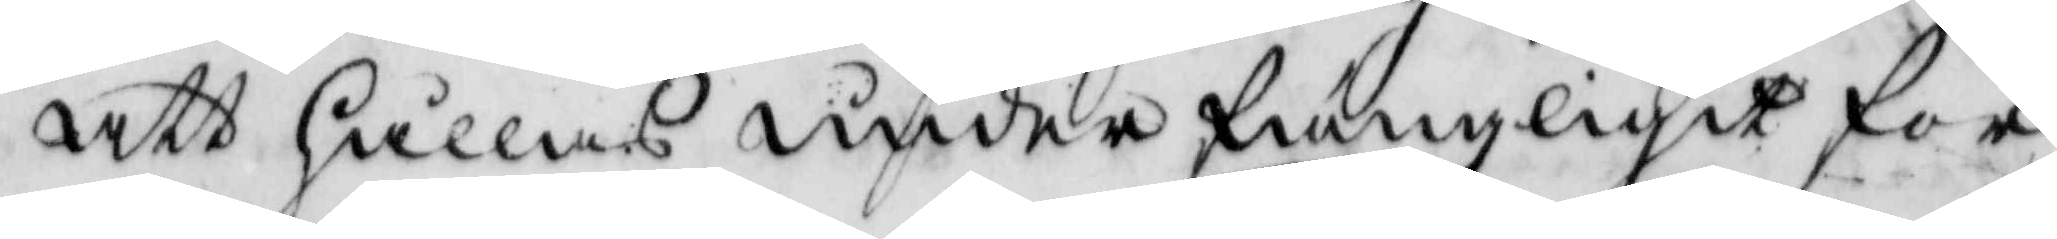att hållas under fängzligit för¬
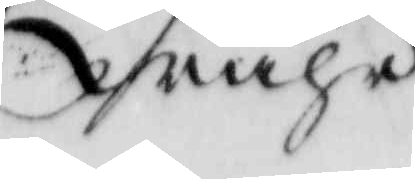wahr
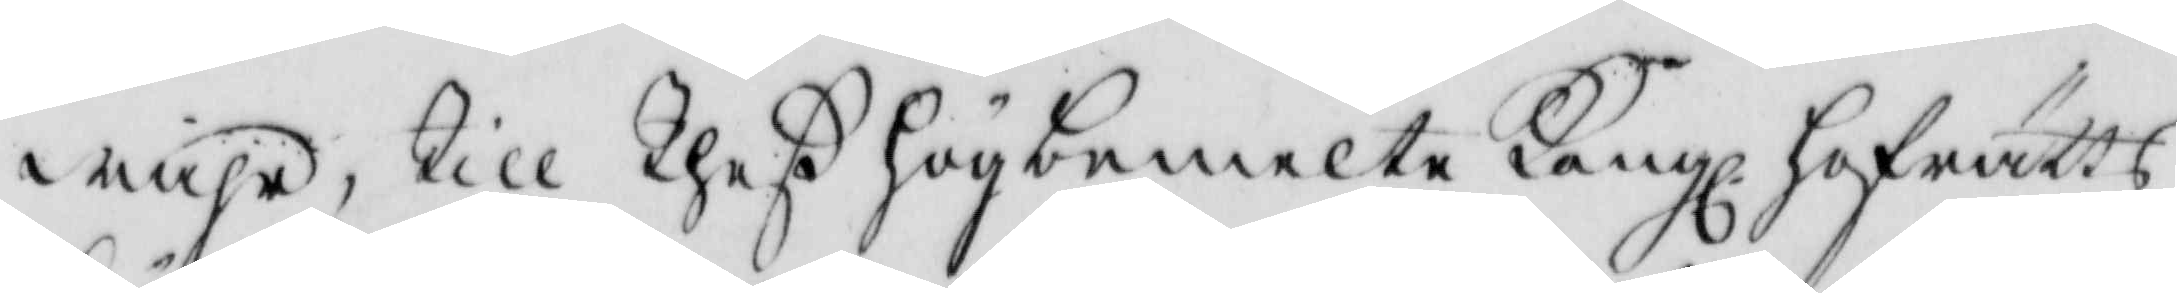wahr, Till Theß högbemelte Kongl. hofrätts
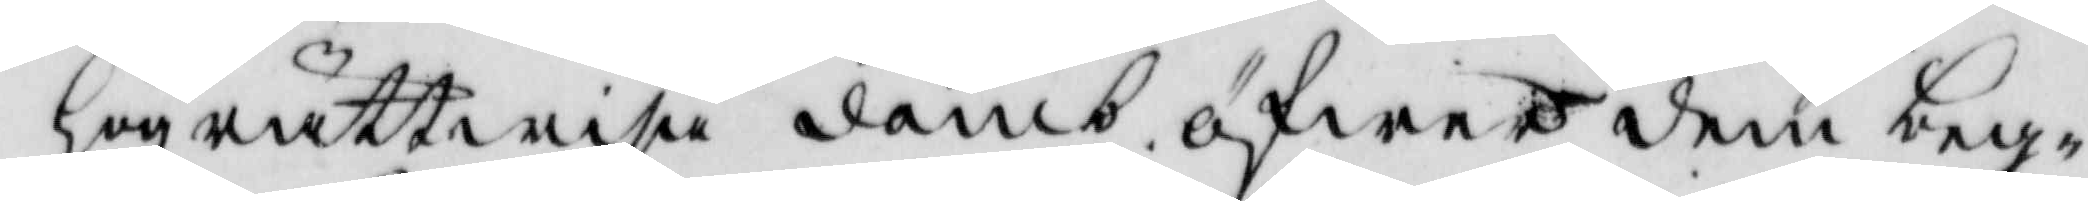högrättwisa domb öfwer dem beg¬
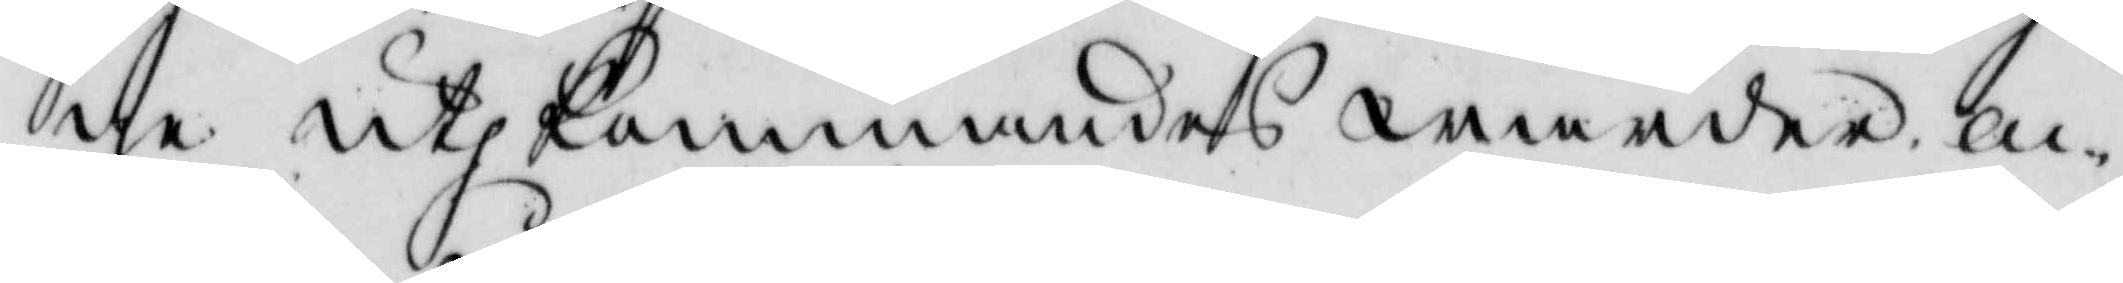ge uthkommandes warder ac¬
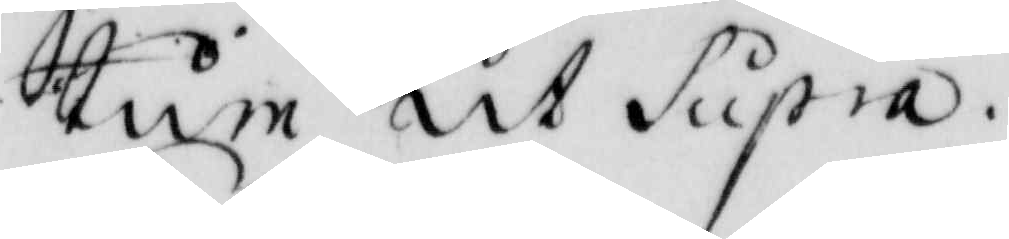tum ut Supra.
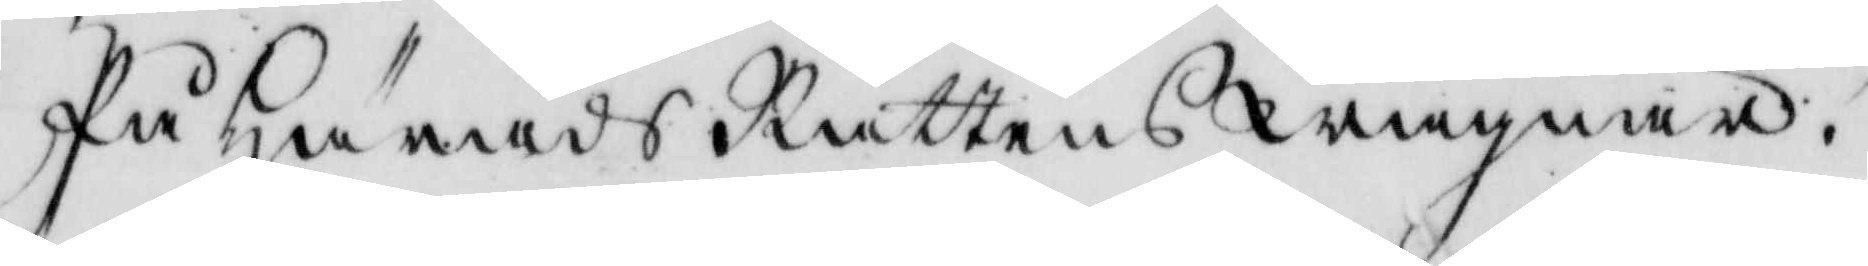På Härads Rättens Wägnar!
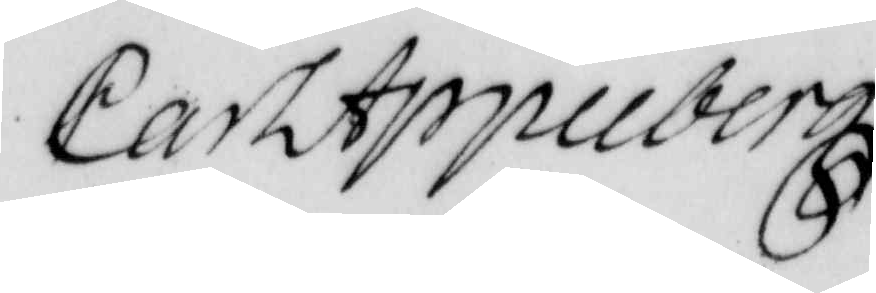Carl Appnberg
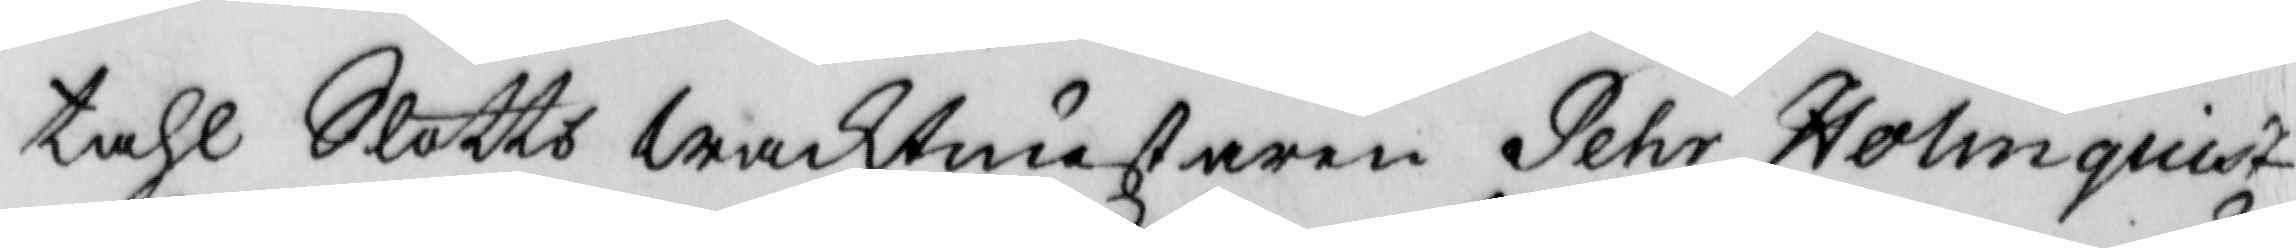tahl Slotts waktmästaren Pehr Holmquist
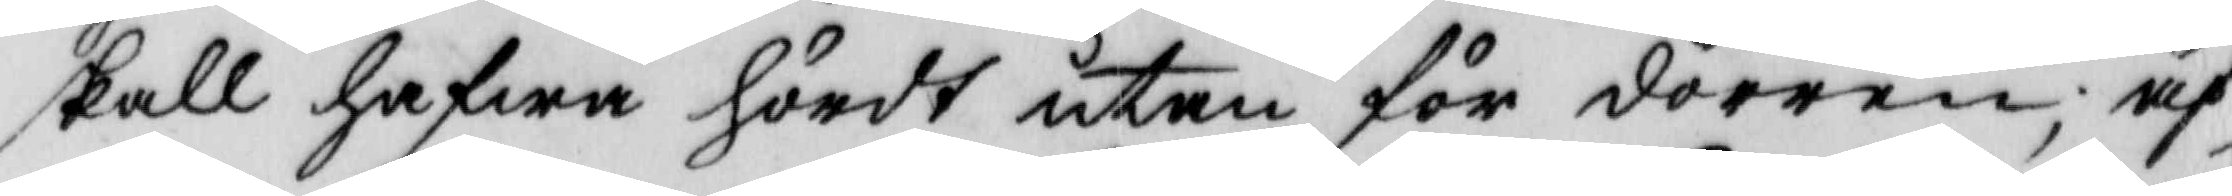skall hafwa hördt utan för dörren, äf¬
